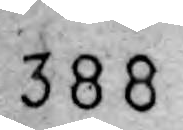388
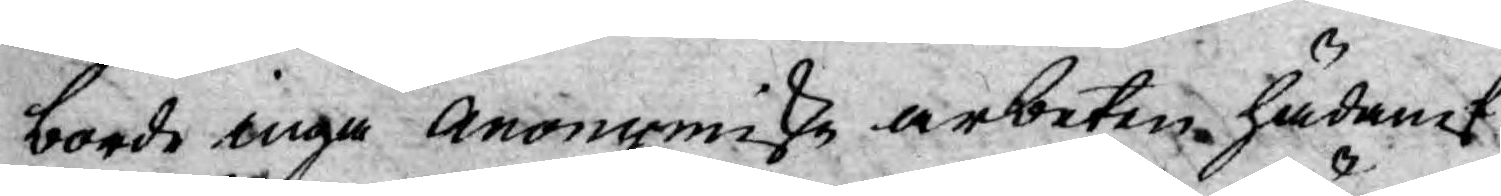borde ingå Anonymiske arbeten hädanef¬
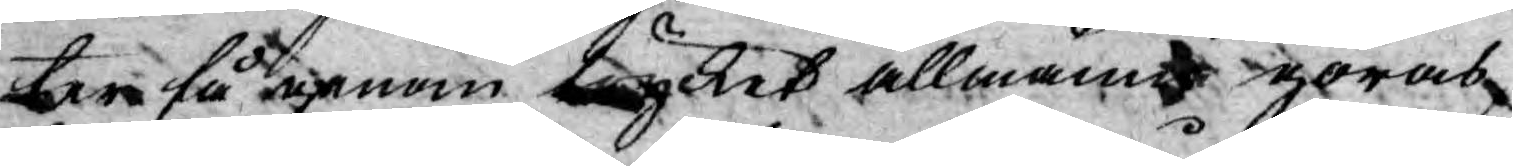ter få genom trycket allmänt göras
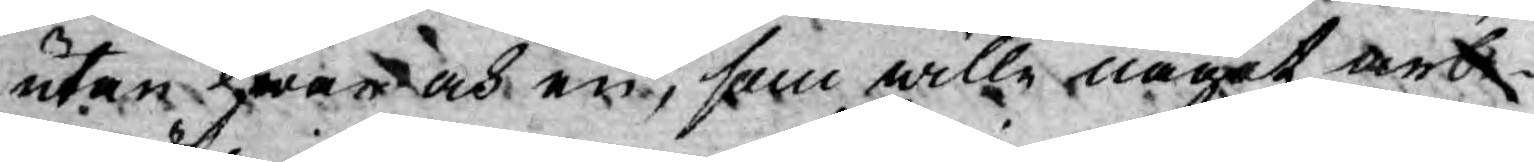utan hwar och en, som wille något arbe¬
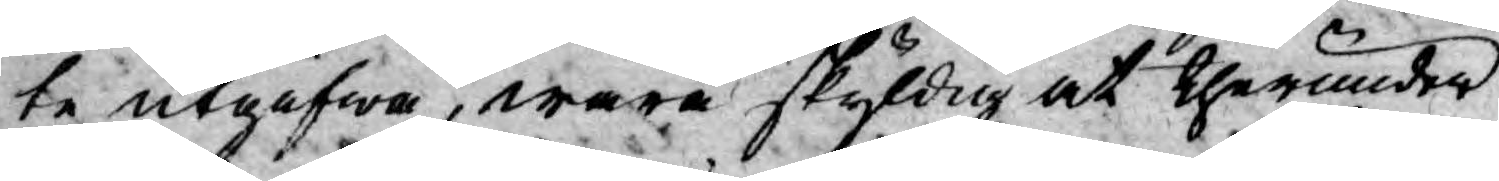te utgifwa, wara skyldig at therunder
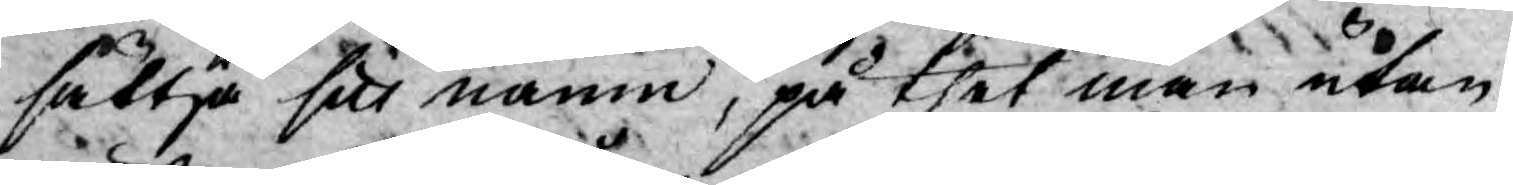sättja sitt namn, på thet man utan
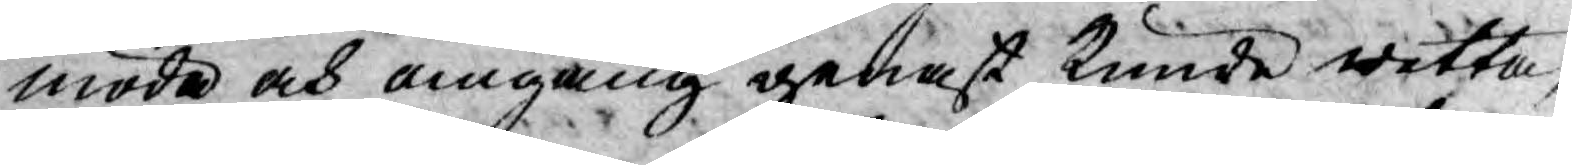möda och omgång genast kunde wetta,
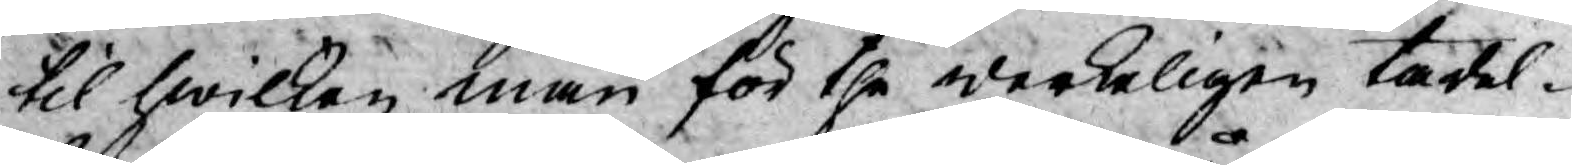til hwilken man för the werkeligen tadel¬
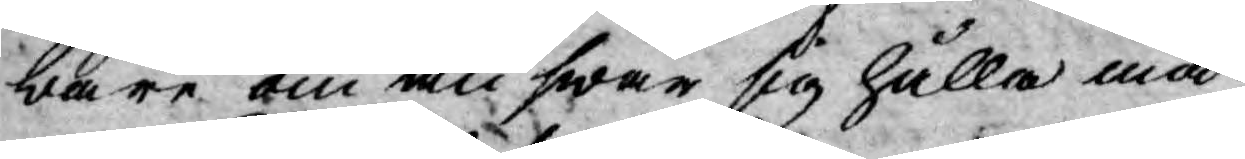bare om answar sig hålla må.
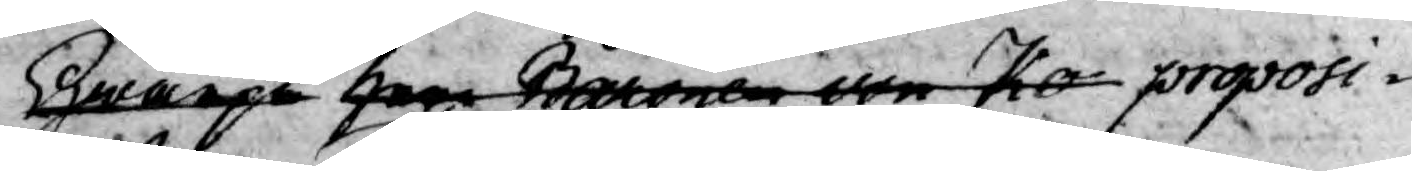Hwarpå herr Baronen von Ko proposi¬
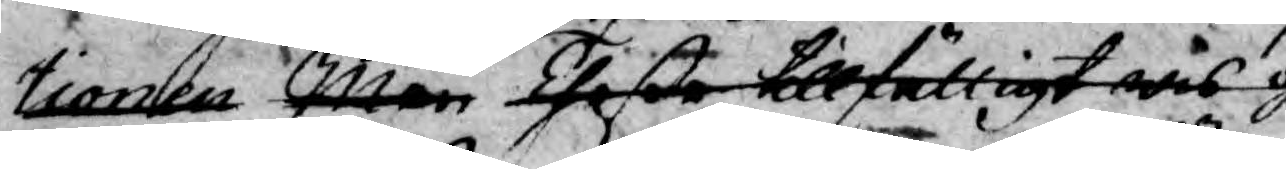tionen Men Theße tillfälligt wis g
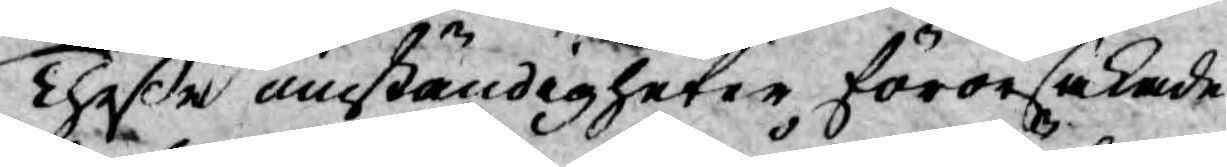Theßse omständigheter förorsakade
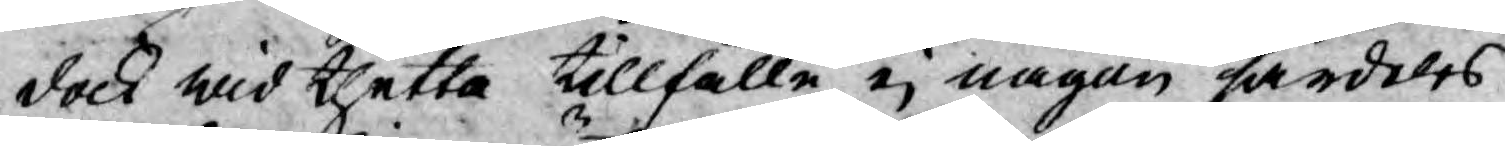dock wid thetta tillfälle ej någon särdeles
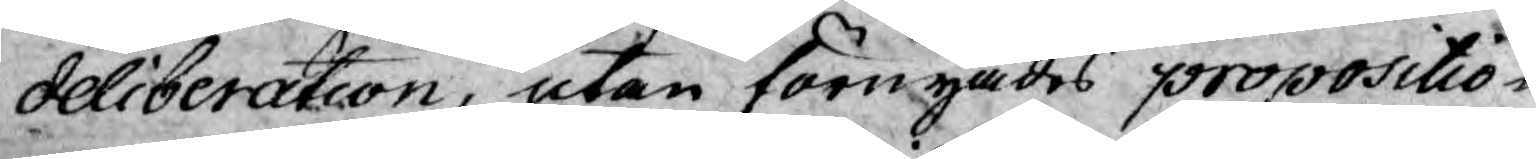deliberation, utan förnyades propositio¬
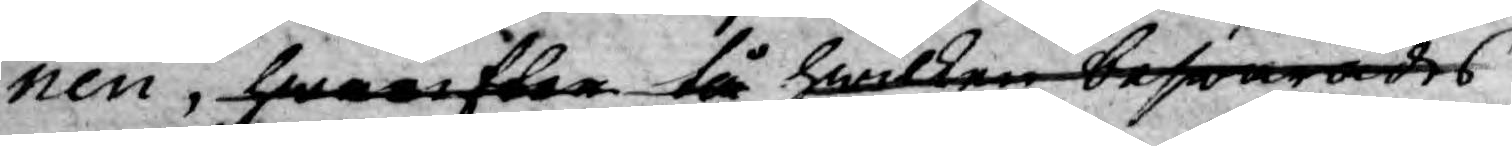nen, hwarefter tå hwilken beswarades
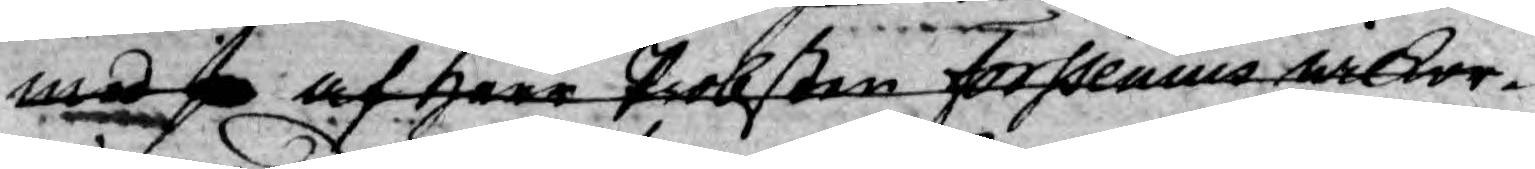med af herr Probsten Forssenius wilkor¬
